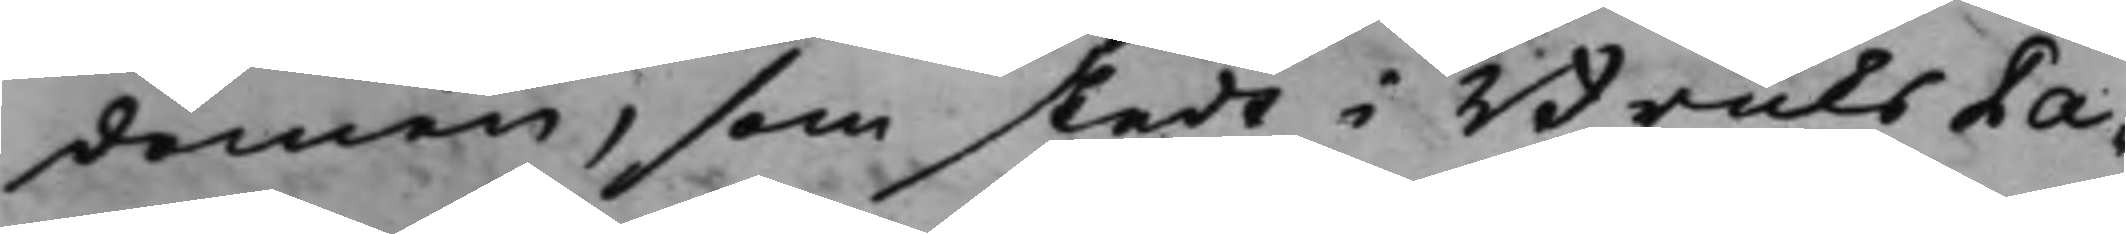domen, som skedt i Bruks Pa¬
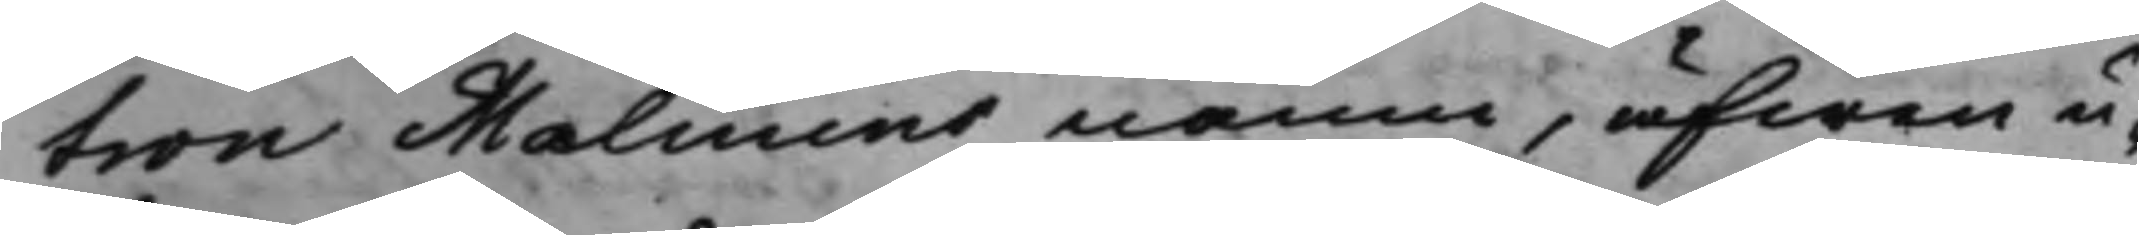tron Malmins namn, äfwen u¬
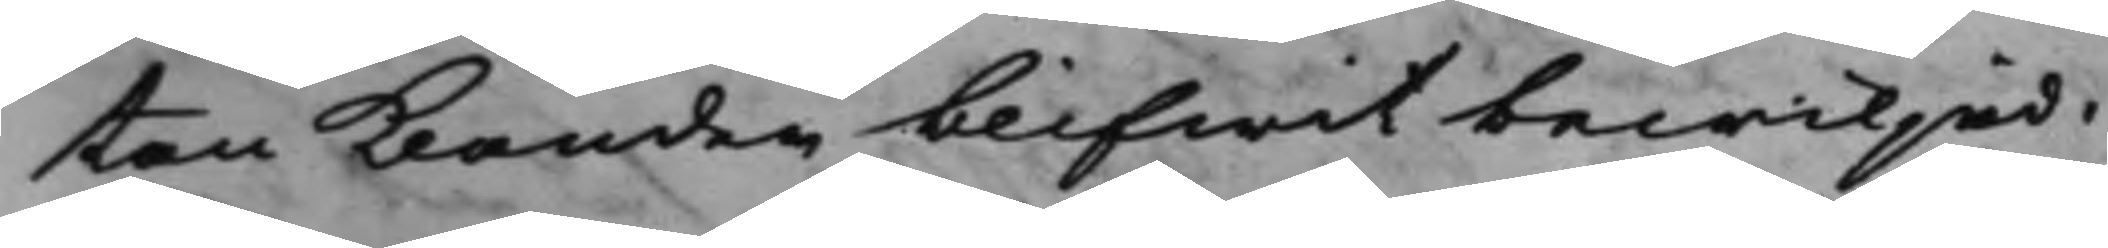tan Klander blifwit bewiljad.
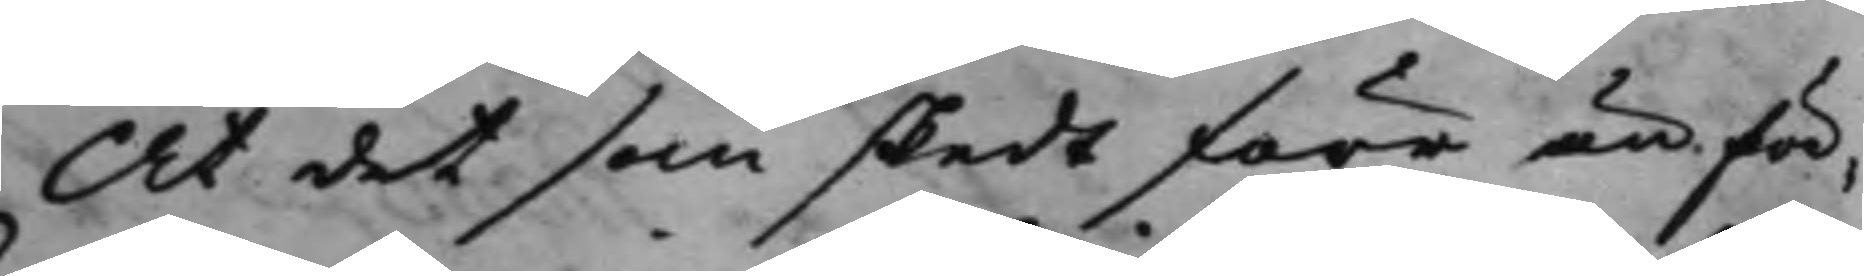At det som skedt förr är för¬
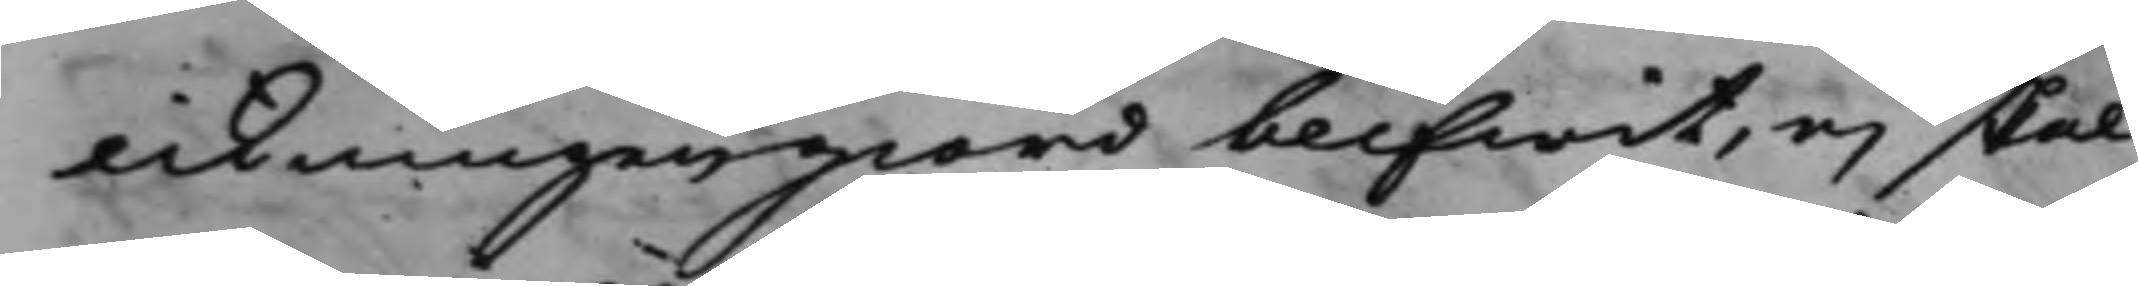likningen giord blifwit, ej skal
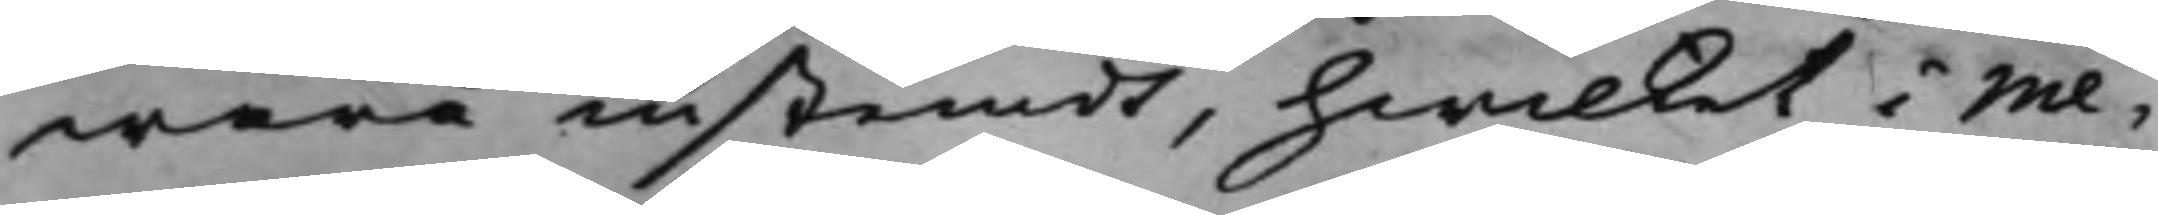wara instemdt, hwilket i Me¬
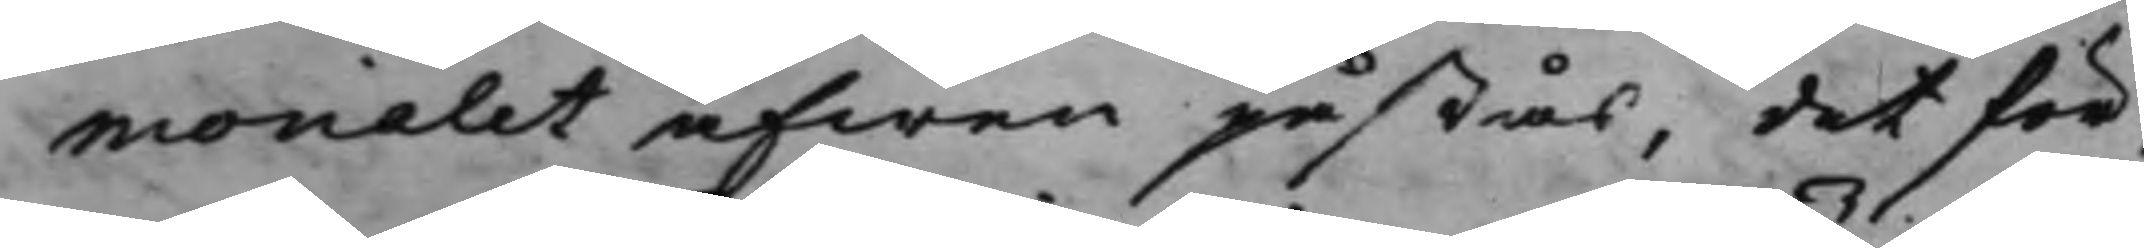morialet äfwen påstås, det för¬
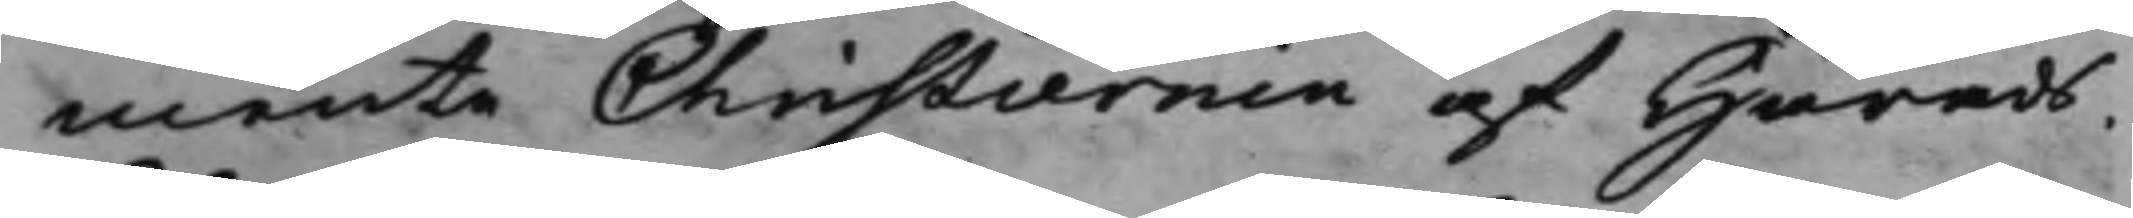mente Christiernin af Härads¬
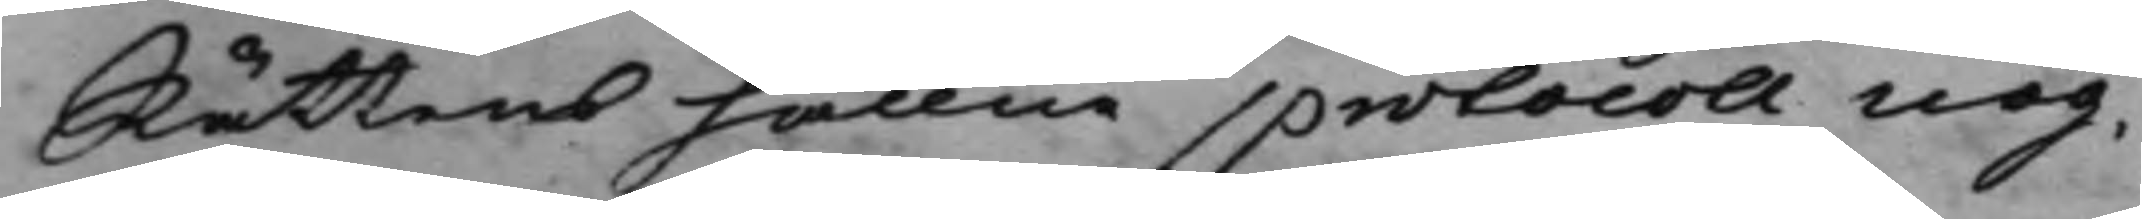Rättens hållne protocoll nog¬
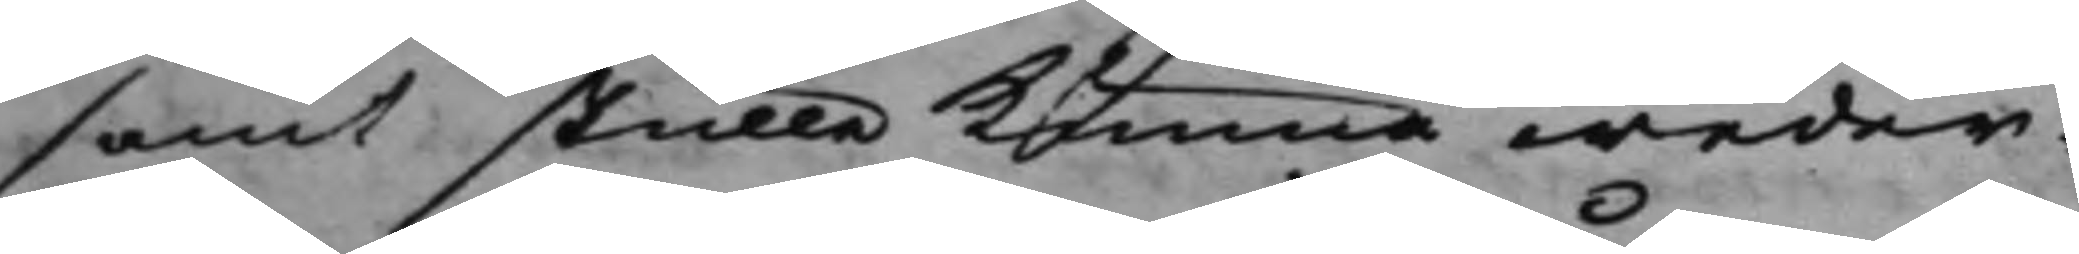samt skulle kunna weder¬
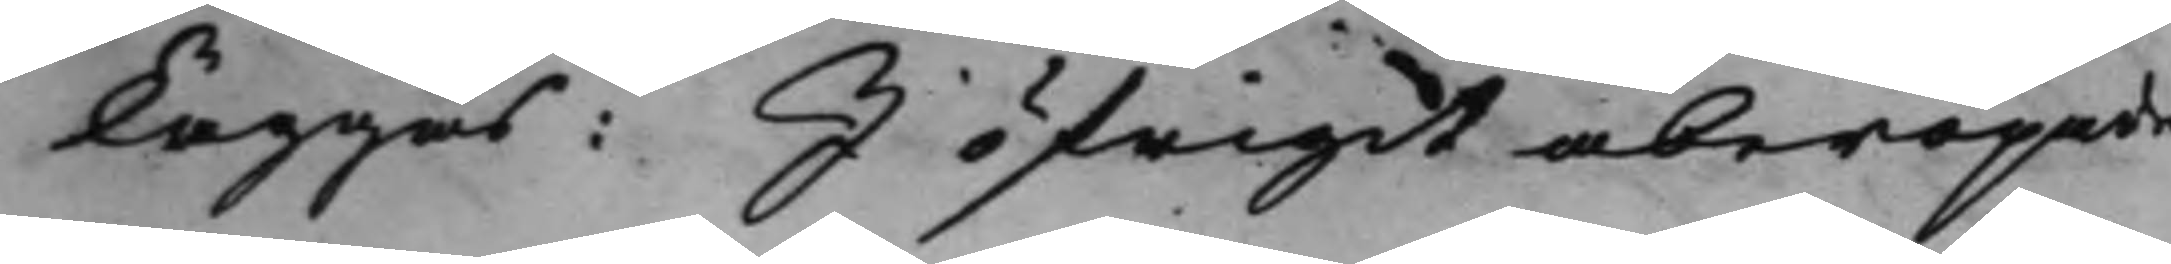läggas: I öfrigit åberopade
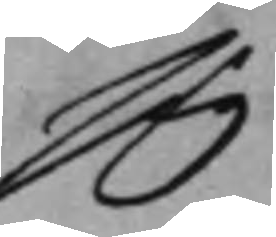sig
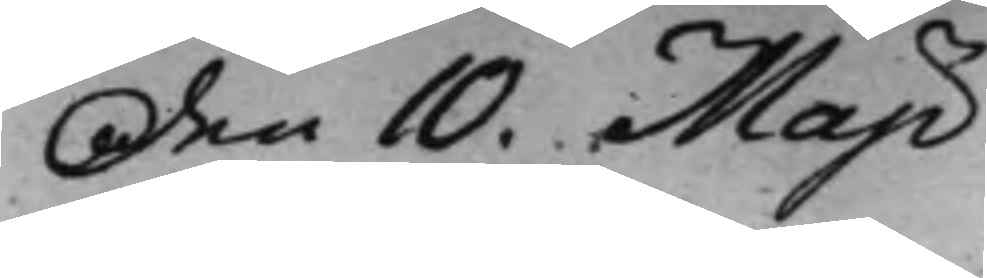den 10. Maji
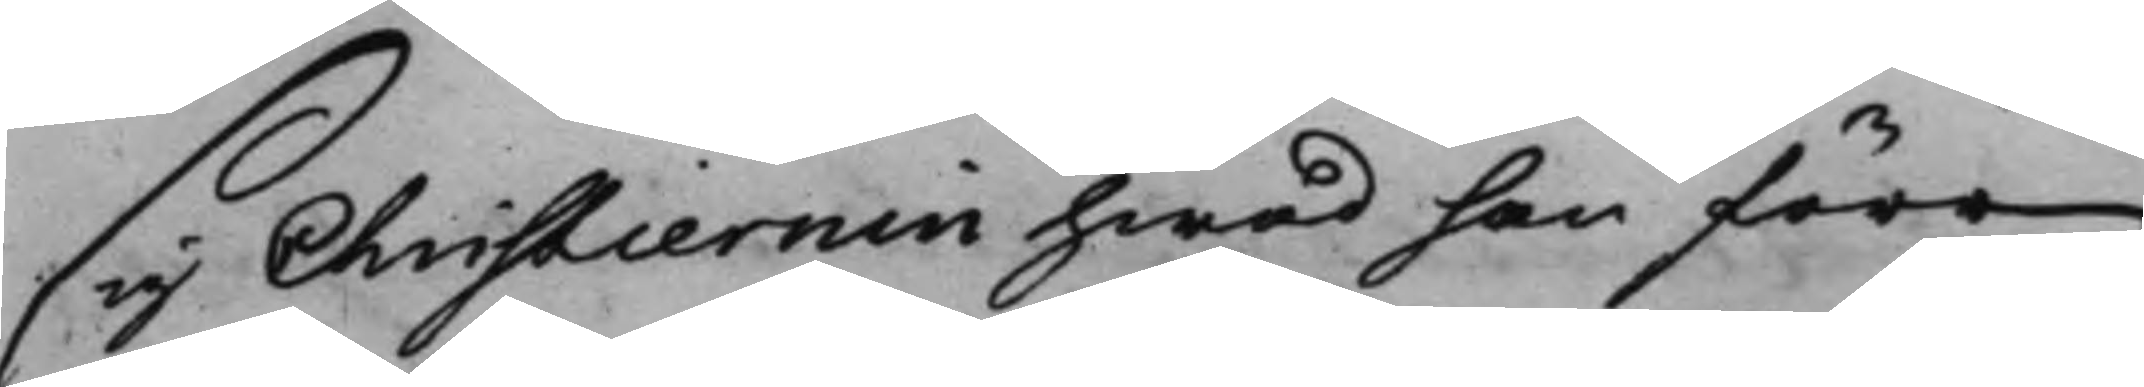sig Christiernin hwad han före
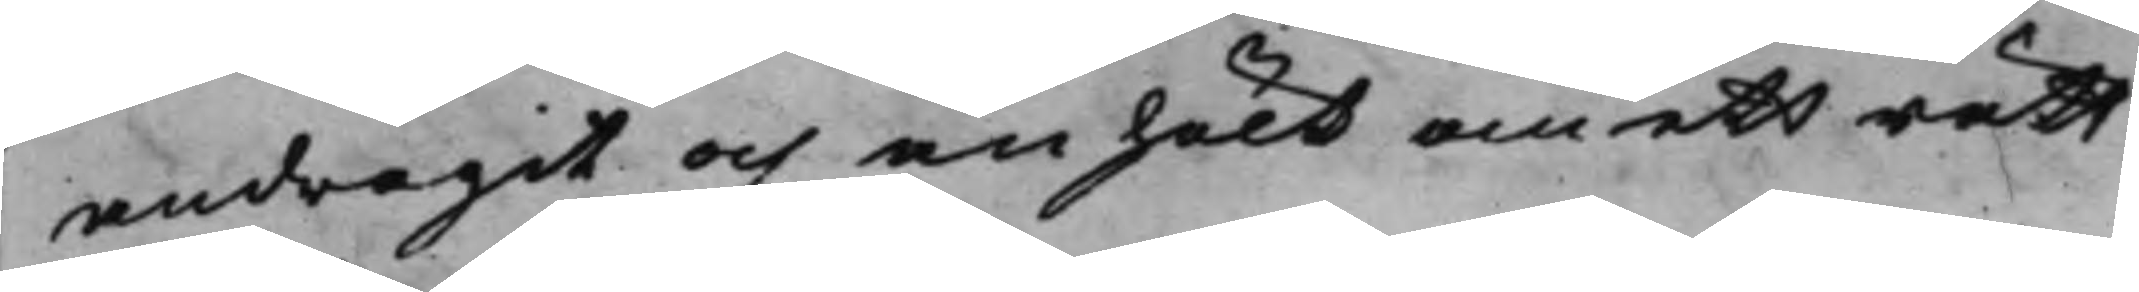andragit och anhölt om ett rätt¬
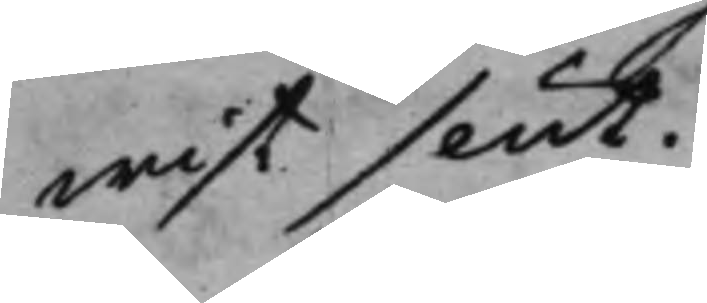wist slut.
